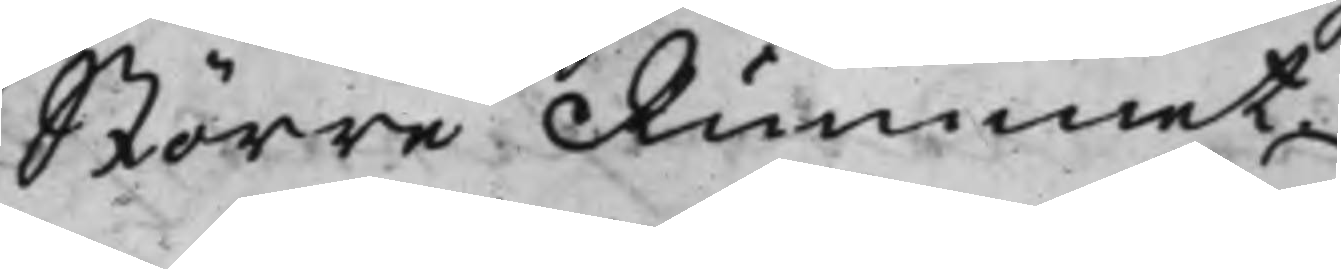Större Rummet.
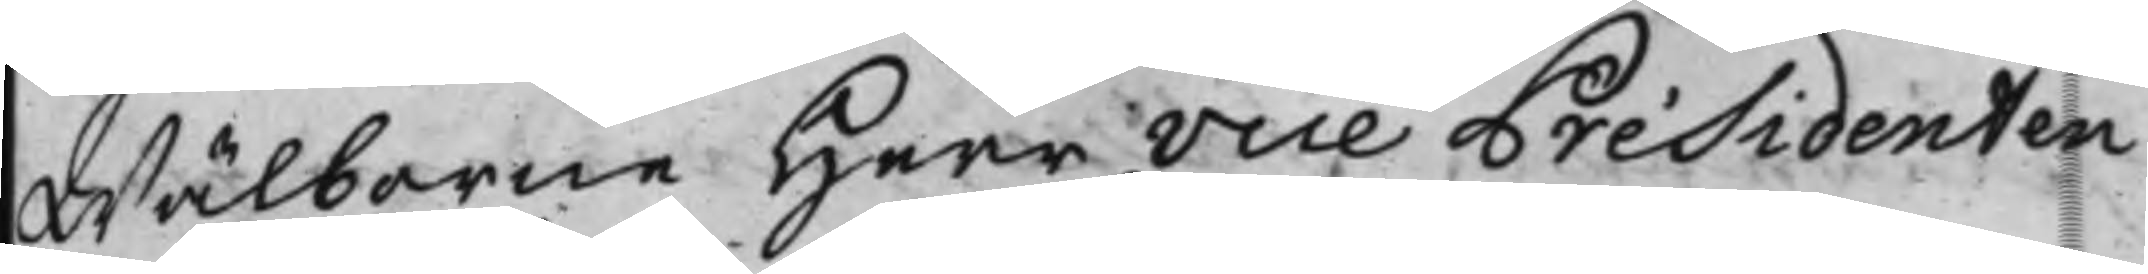Wälborne Herr Vice Présidenten
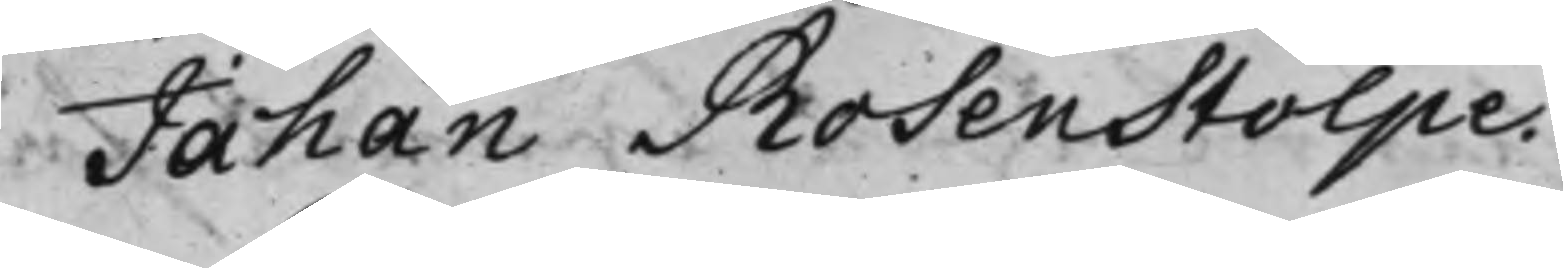Johan Rosenstolpe.
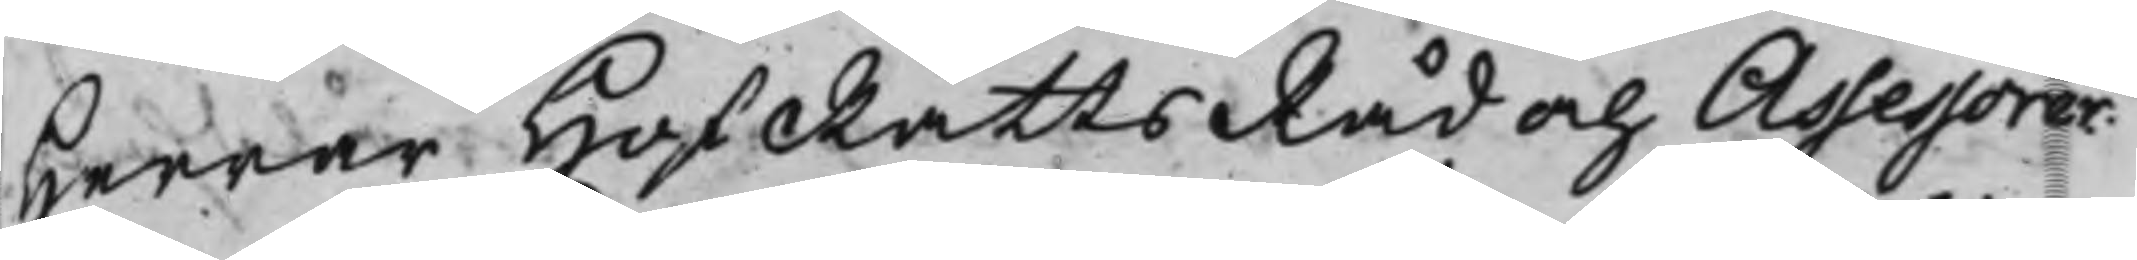Herrar HofRättsRåd och Assessorer.
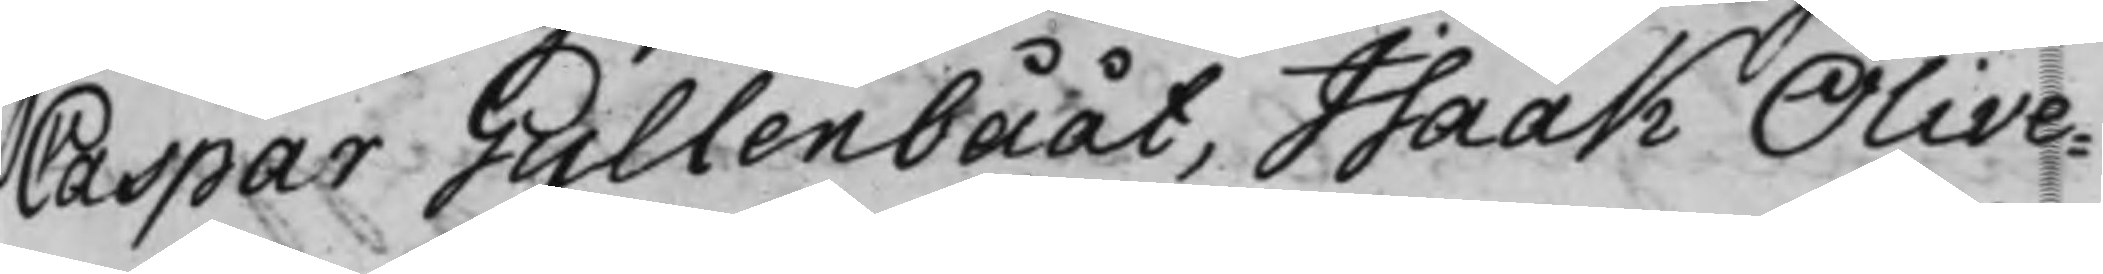Caspar Gyllenbååt, Isaak Olive¬
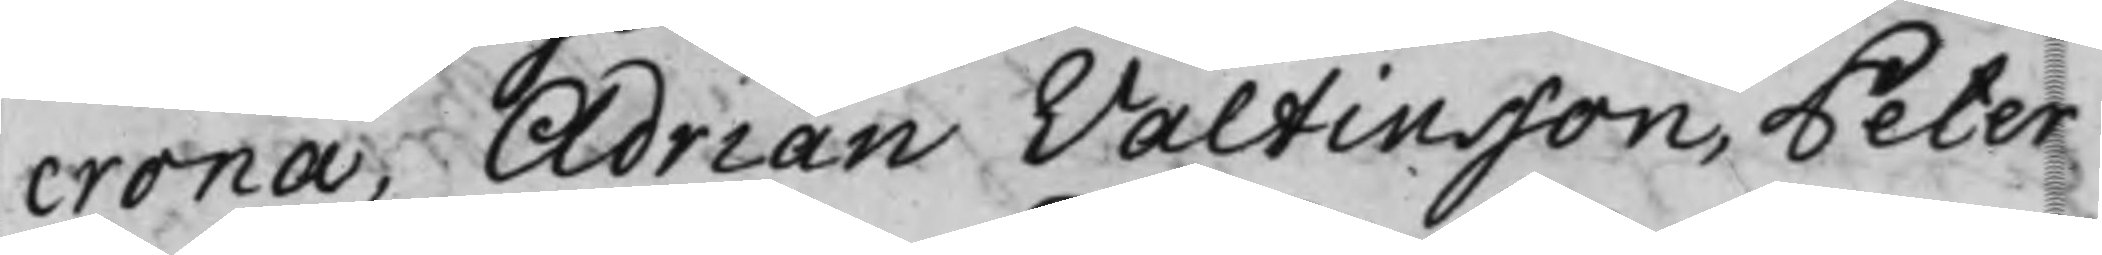crona, Adrian Valtinsson, Peter
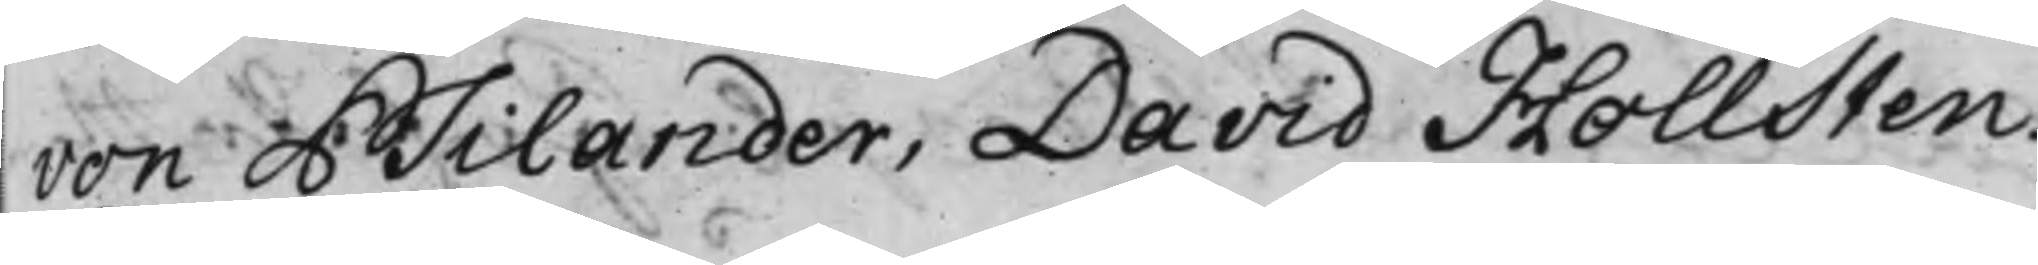von Psilander, David Hollsten.
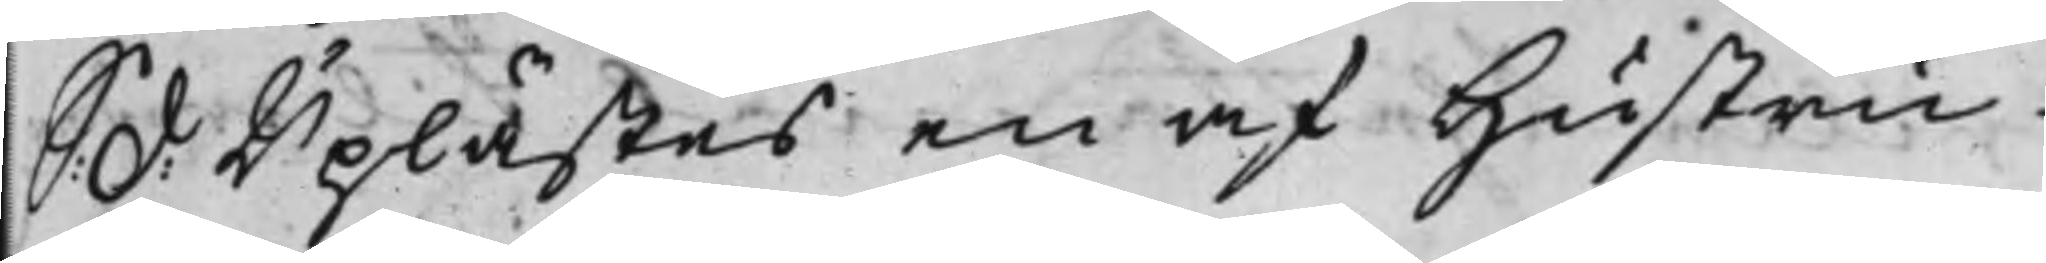S d: Uplästes en af Hustru
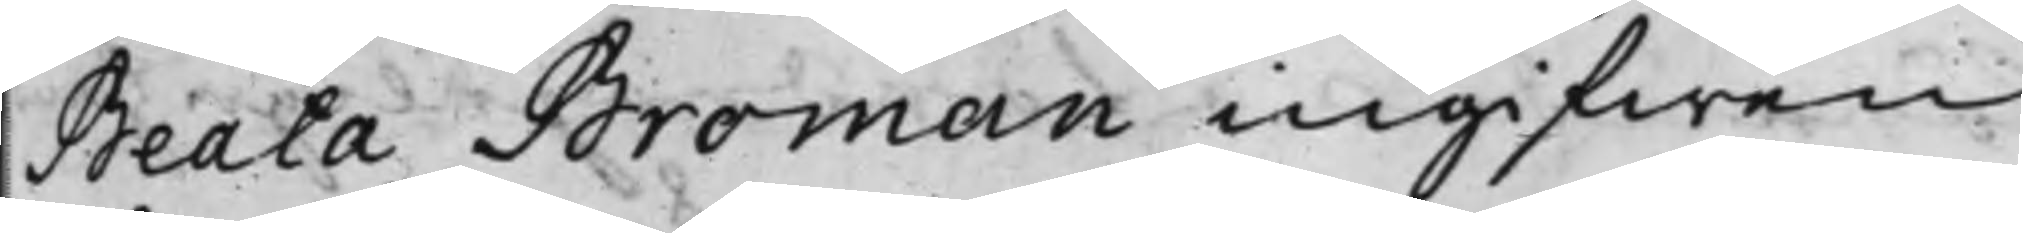Beata Broman ingifwen
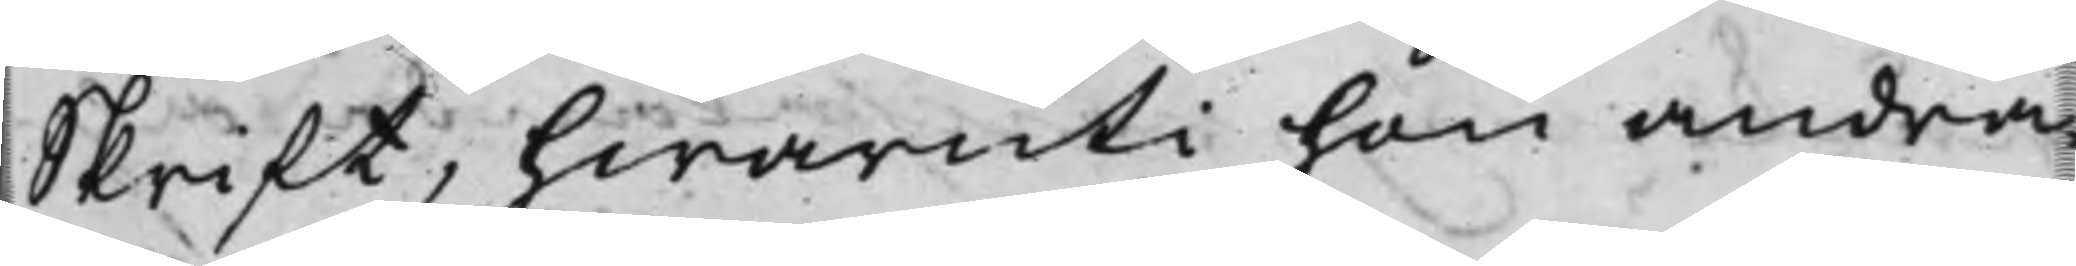Skrift, hwaruti hon andra¬
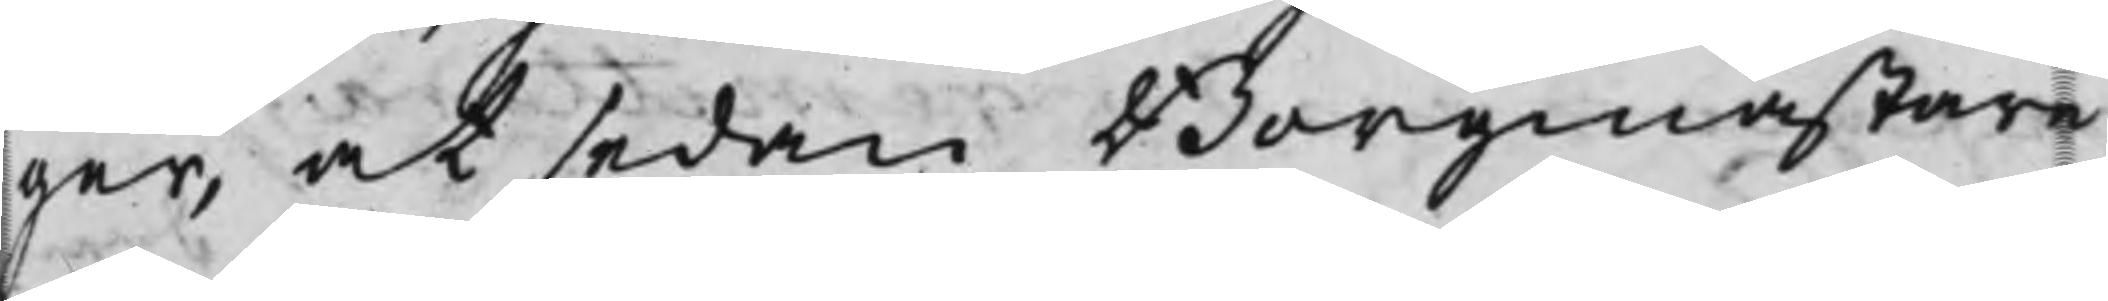ger, at sedan Borgmästare
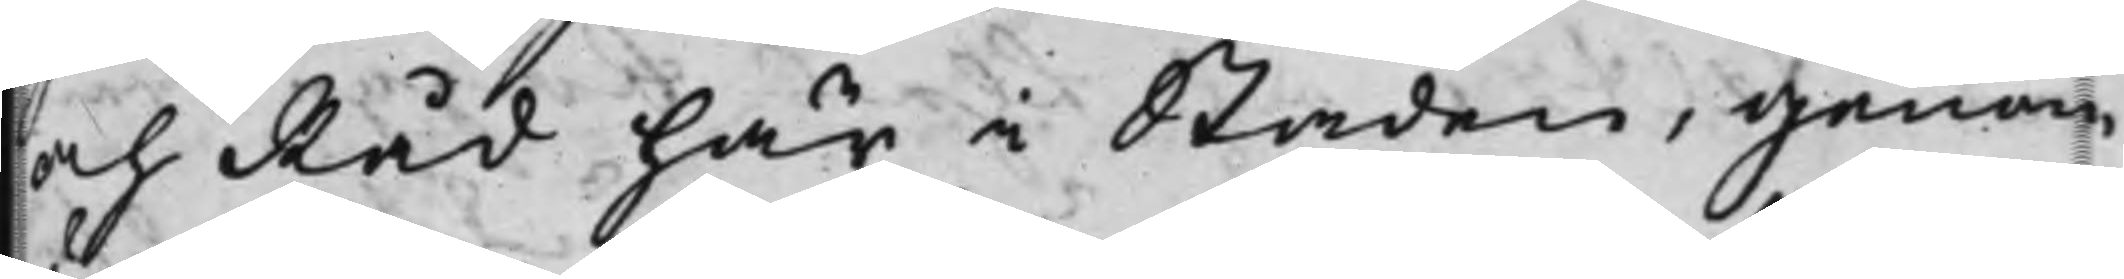och Råd här i Staden, genom
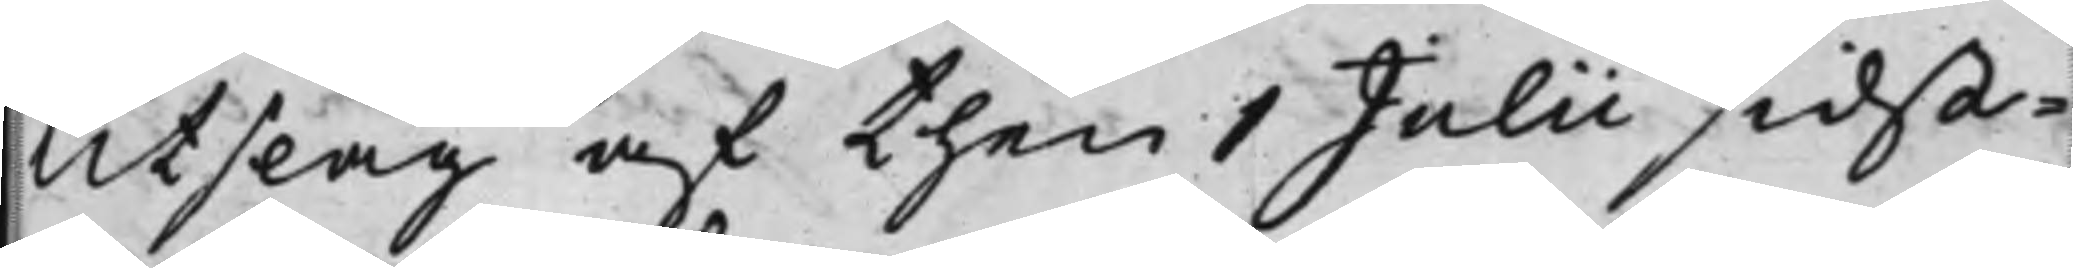Utslag af then 1 Julii sidst¬
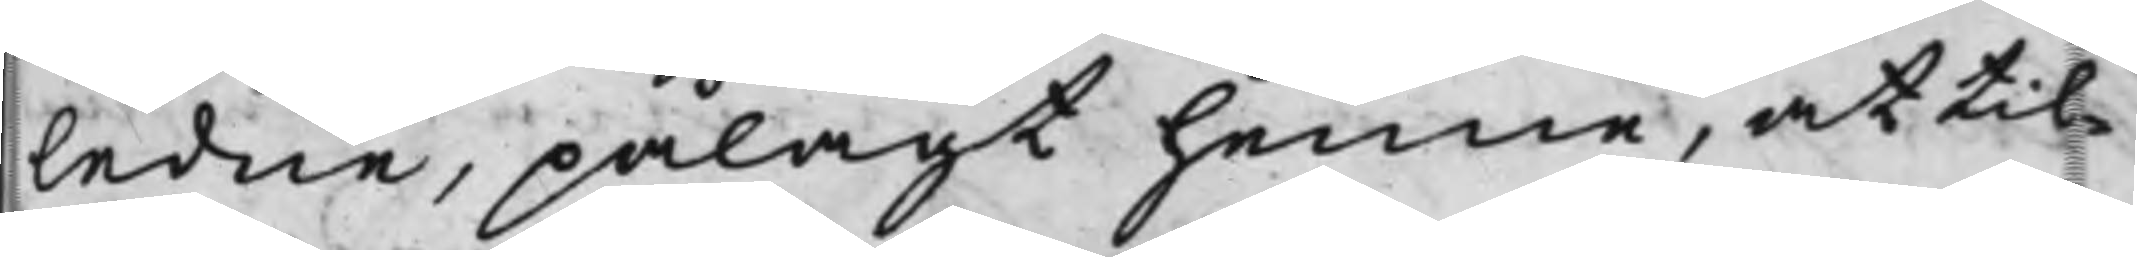ledne, pålagt henne, at til¬
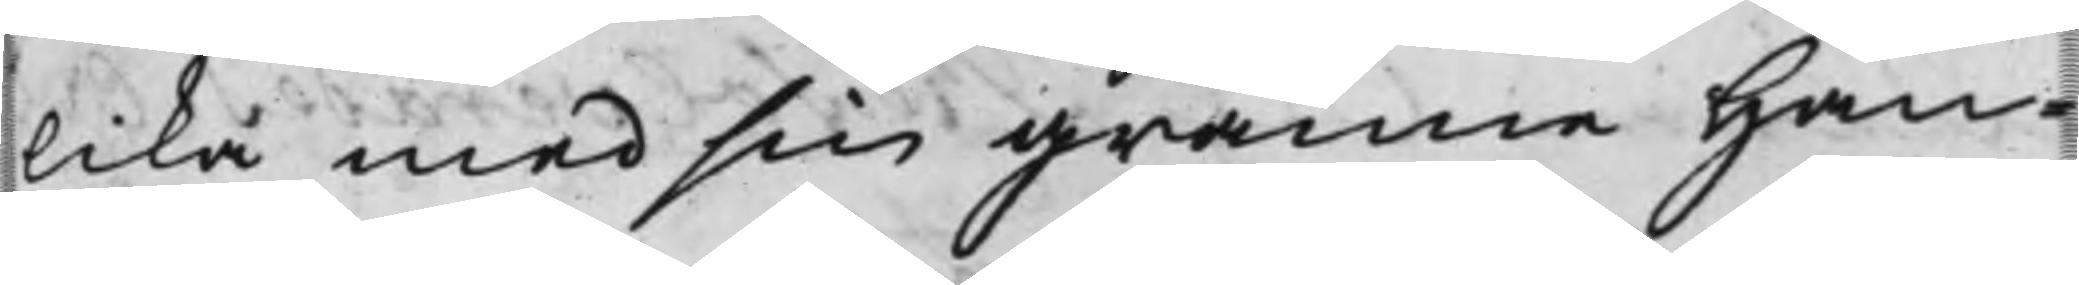lika med sin granne Han¬
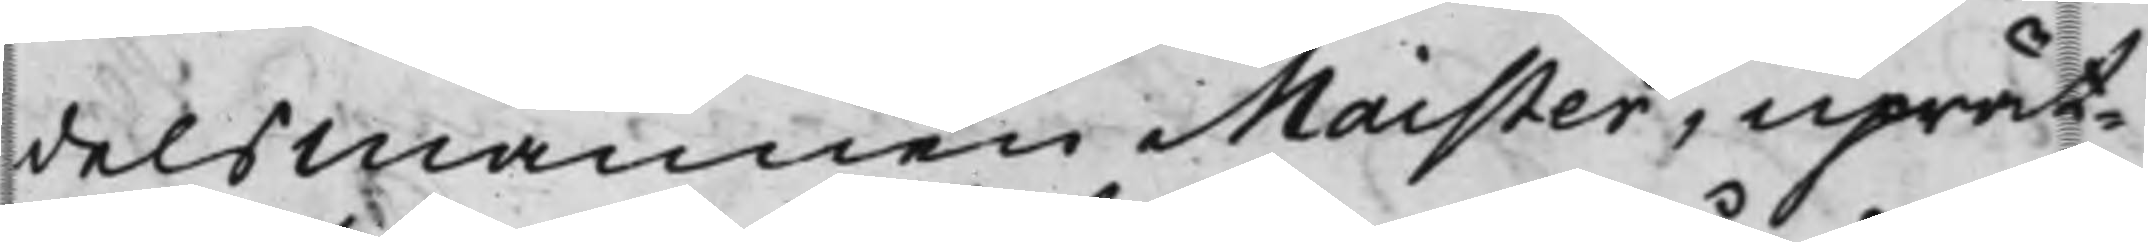delsmannen Maister, uprät¬
